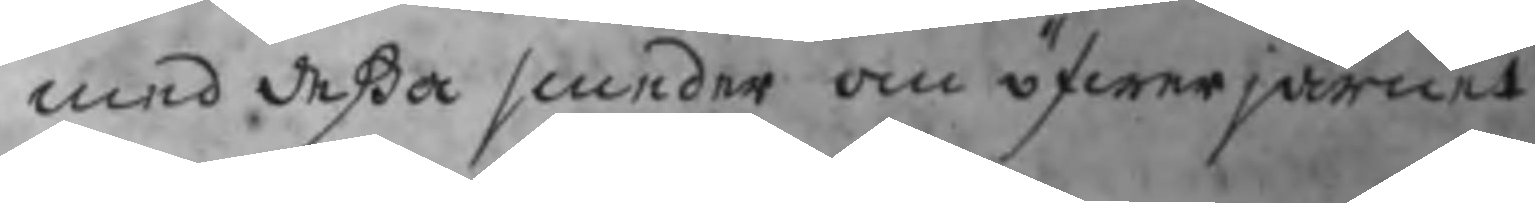med deßa smeder om öfwerjärnet a
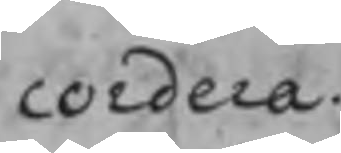cordera.
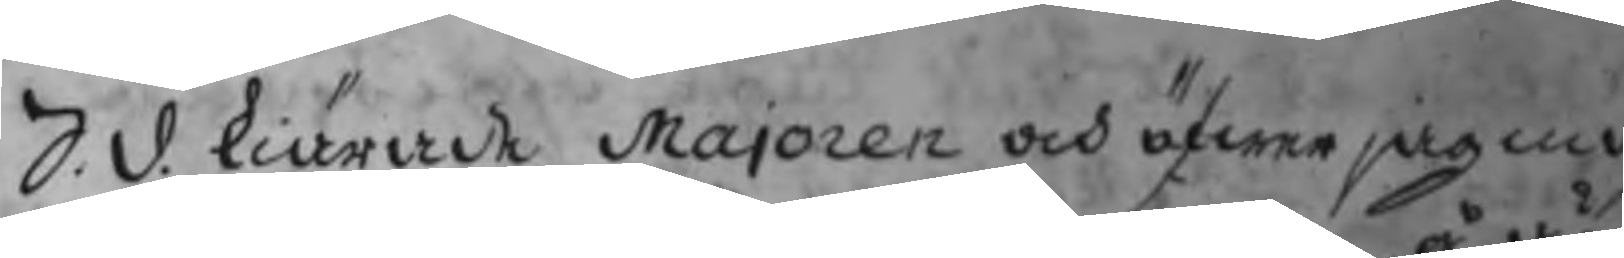S. d. kiärade Majoren och öfwerjagm
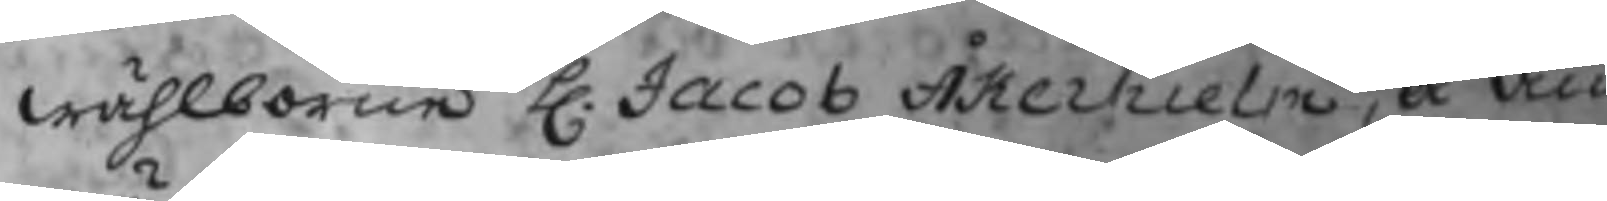wählborne H. Jacob Åkerhielm, å än
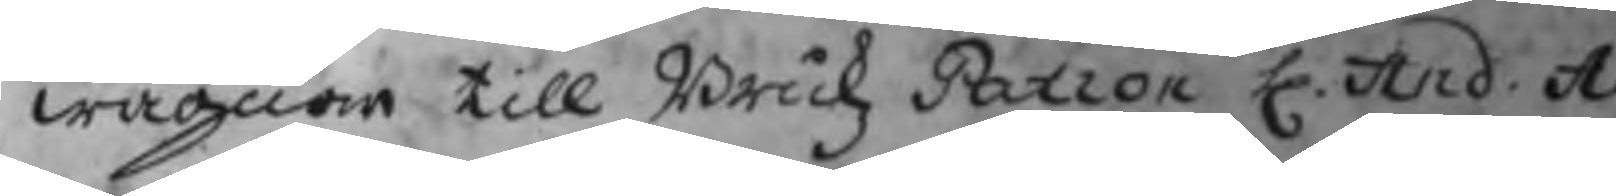wägnar till Brukz Patron H. And. A
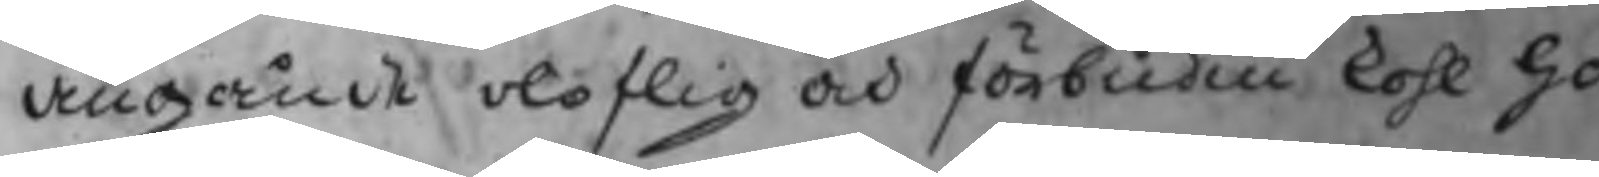angående oloflig och förbudin kohl ha
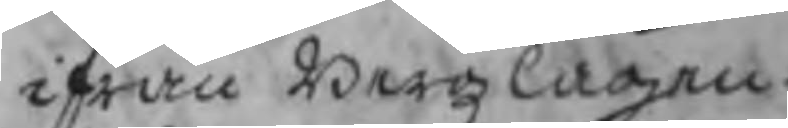ifrån Bergzlagen.
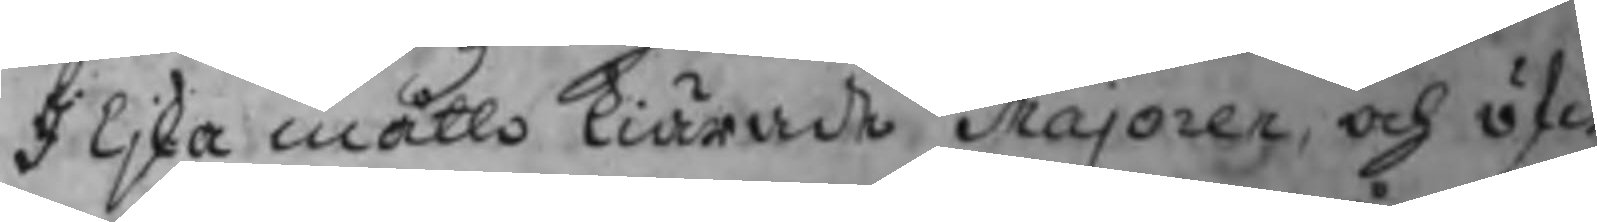I ljka måtto kiärade Majoren och öfw
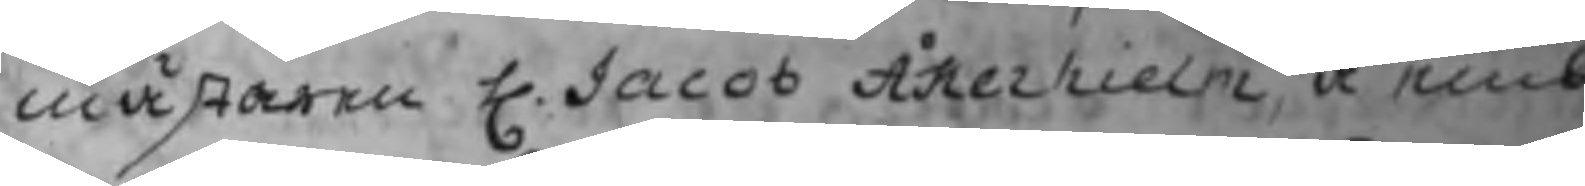mästaren H. Jacob Åkerhielm, å emb
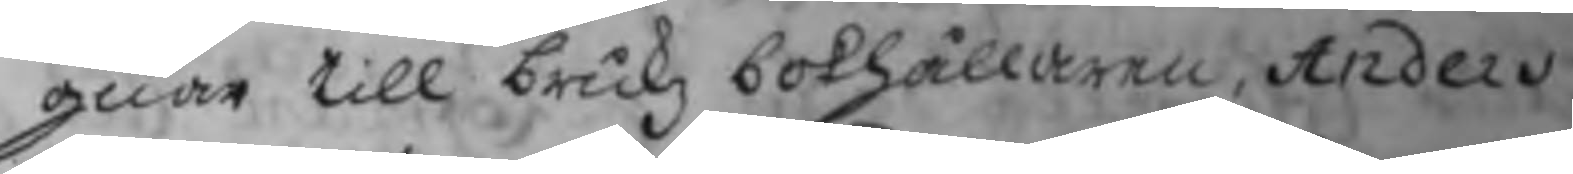gnar till brukz bokhållaren, Anders
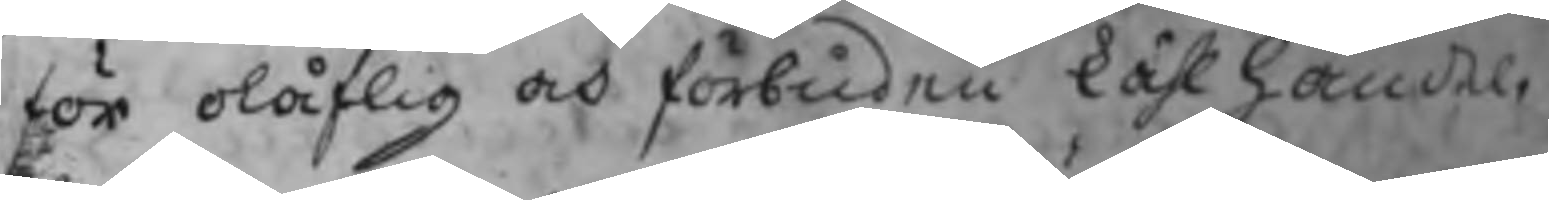för olåflig och förbuden kåhlhandel, t
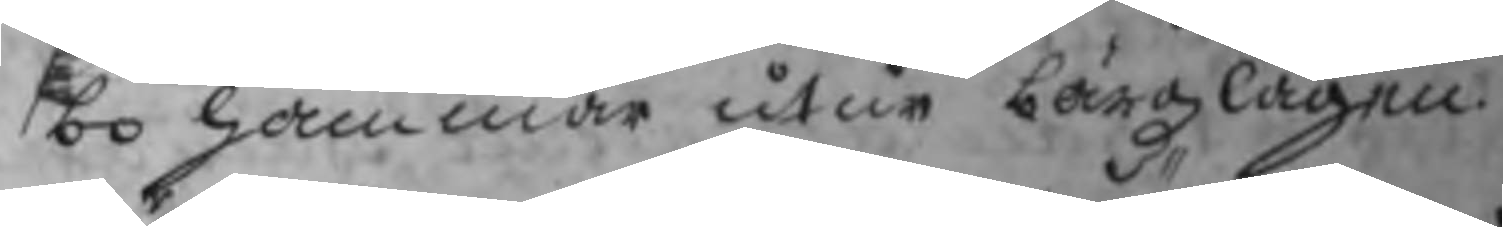bo hammar utur bärgzlagen.
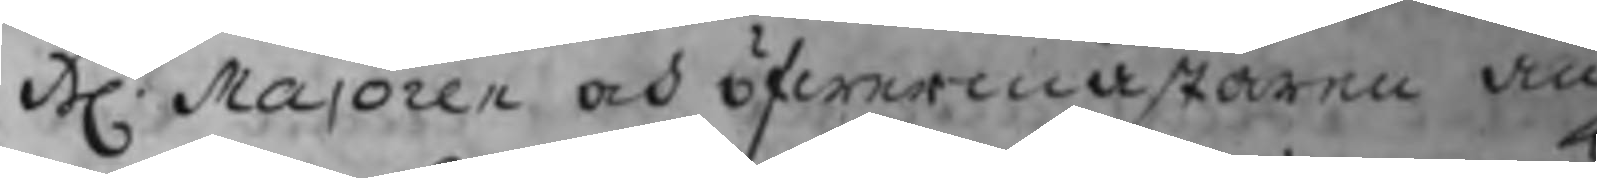Hr. Majoren och öfwermästaren an
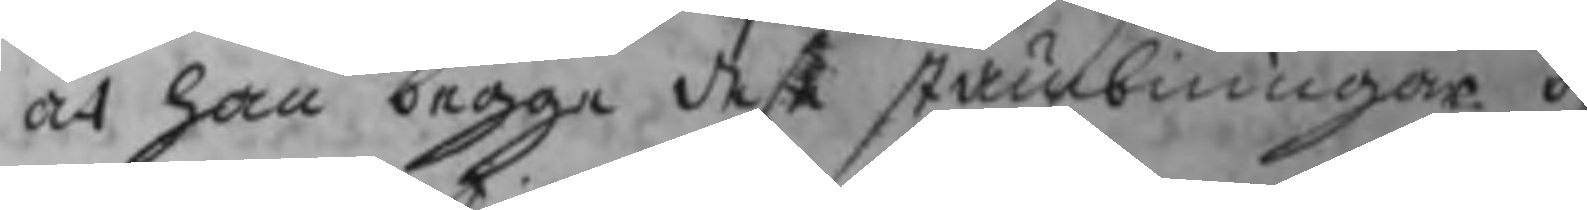at han begge dese stämbningar öf
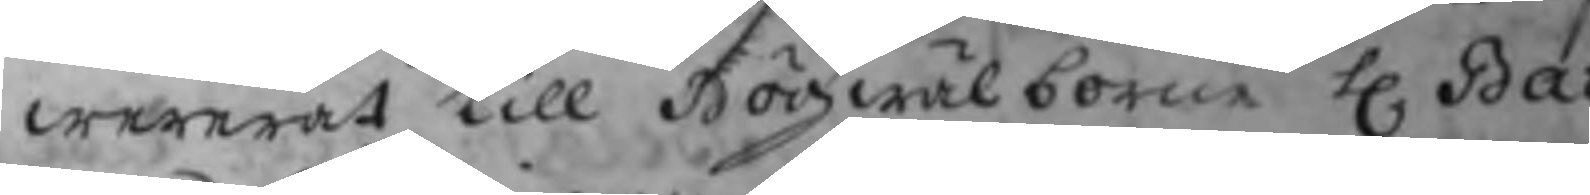wererat till Högwälborne H.  Bar
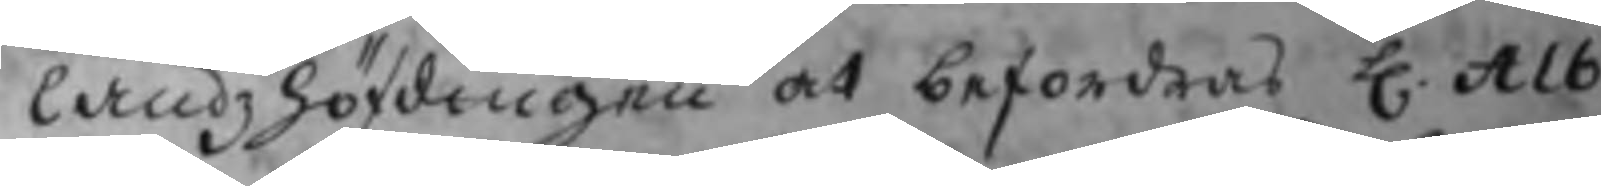landzhöfdingen at befordras H. Alb
